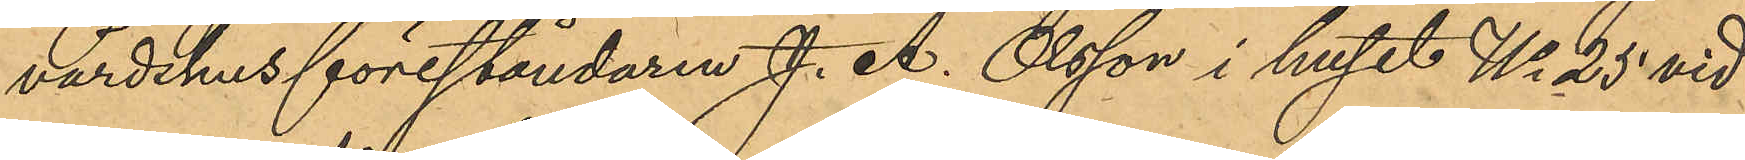värdshusföreståndaren J. A. Olsson i huset No 25 vid
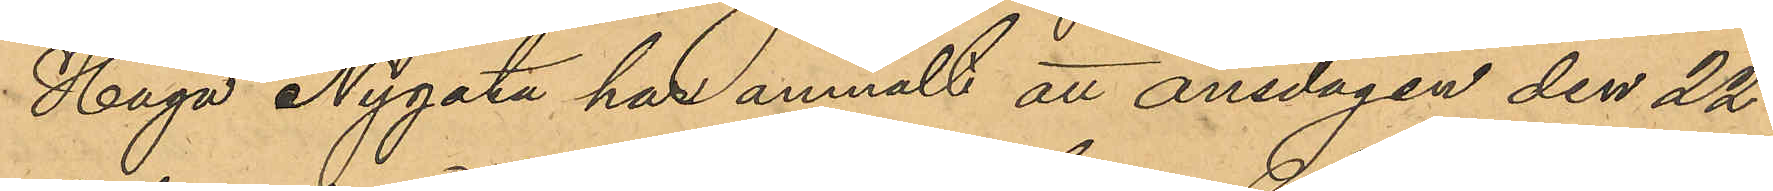Haga Nygata har anmält att onsdagen den 22
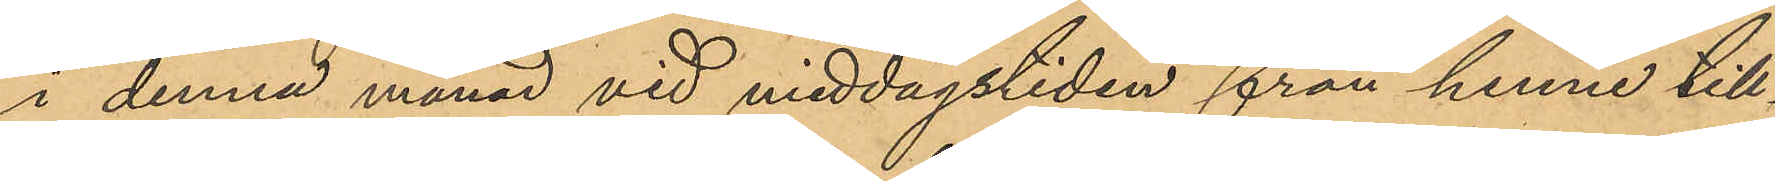i denna månad vid middagstiden från henne till¬
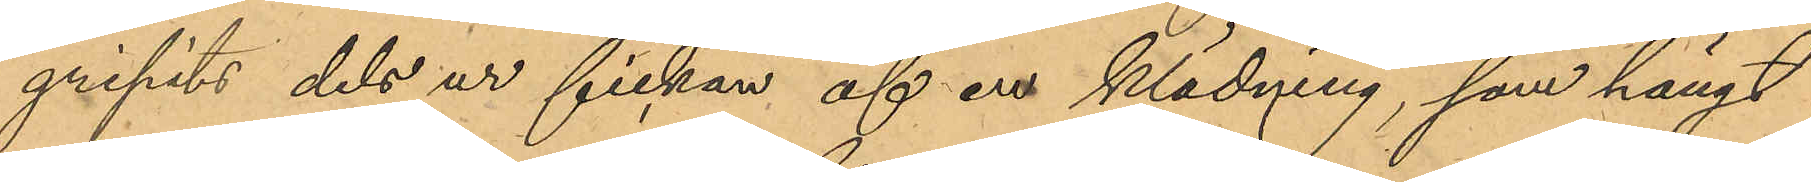gripits dels ur fickan af en klädning, som hängt
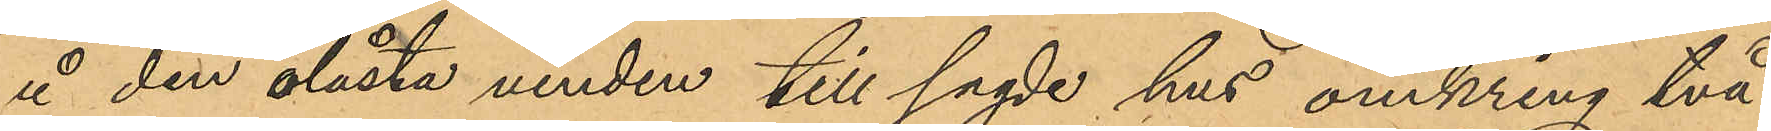å den olåsta vinden till sagde hus omkring två
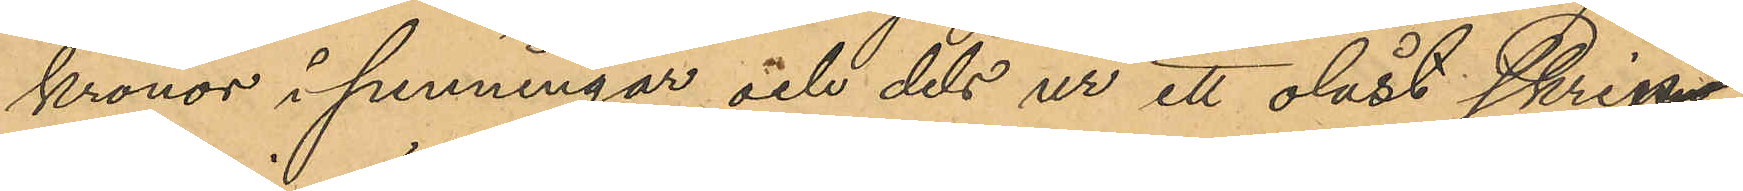kronor i penningar och dels ur ett olåst skrin,
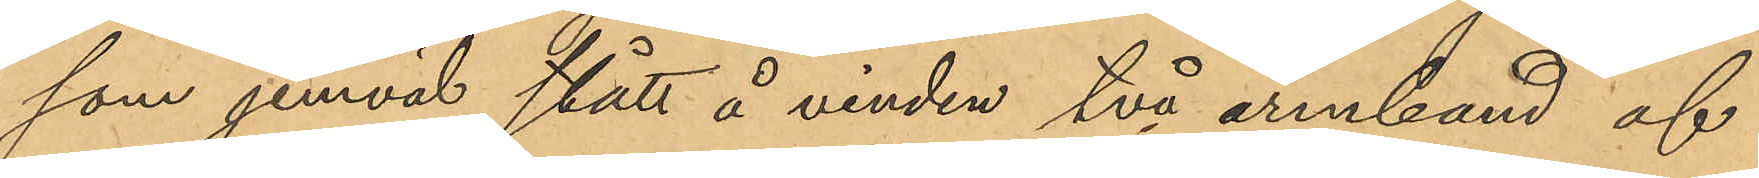som jemväl stått å vinden två armband af
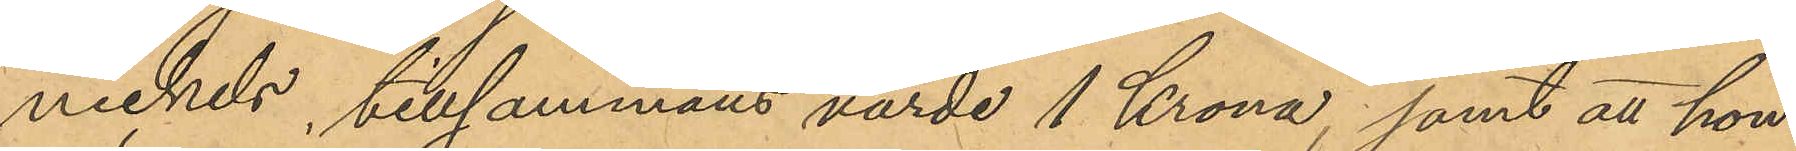nickels, tillsammans värde 1 Krona; samt att hon
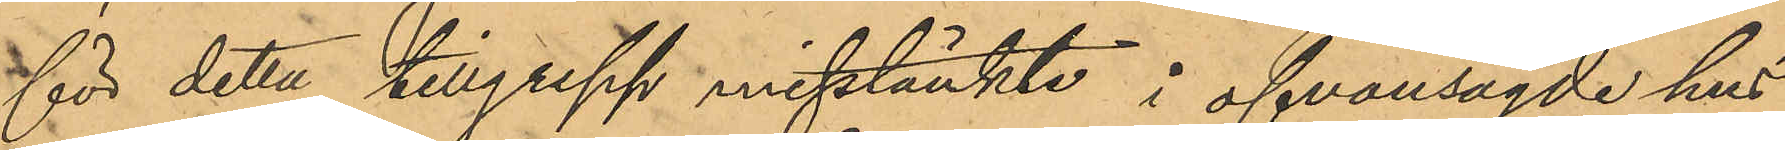för detta tillgrepp misstänkte i ofvansagde hus
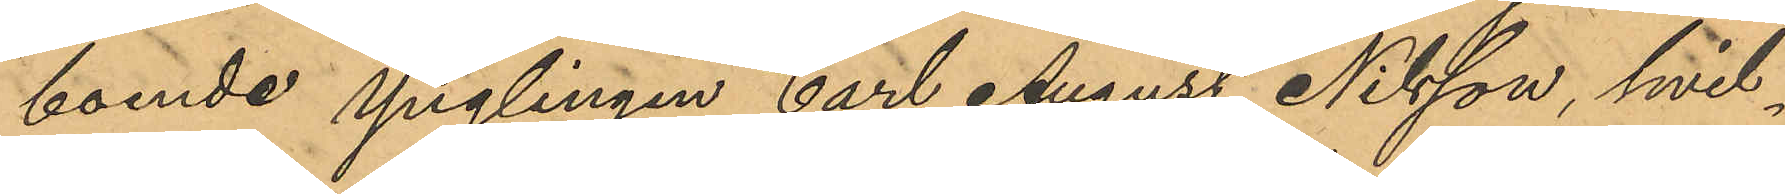boende ynglingen Carl August Nilsson, hvil¬
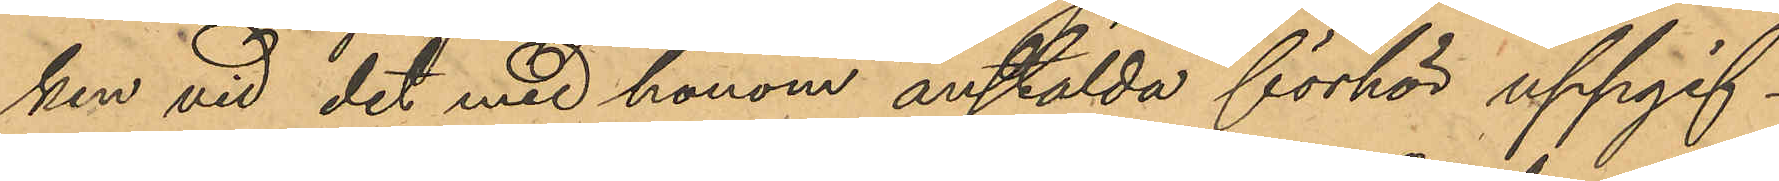ken vid det med honom anstälda förhör uppgif¬
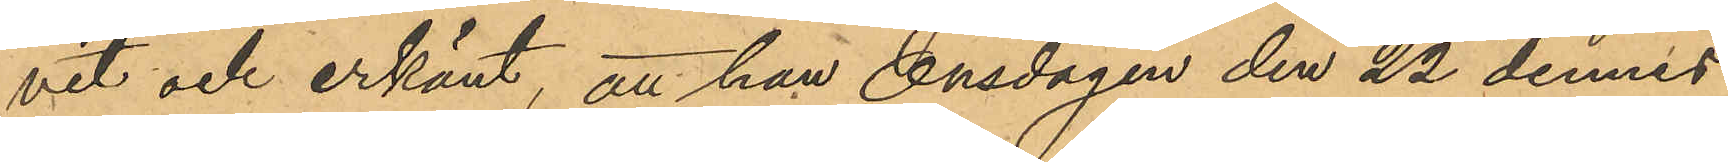vit och erkänt, att han Onsdagen den 22 dennes
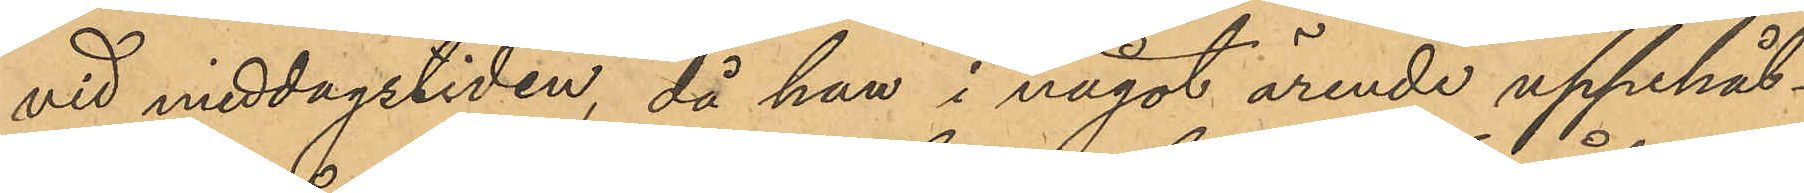vid middagstiden, då han i något ärende uppehål¬
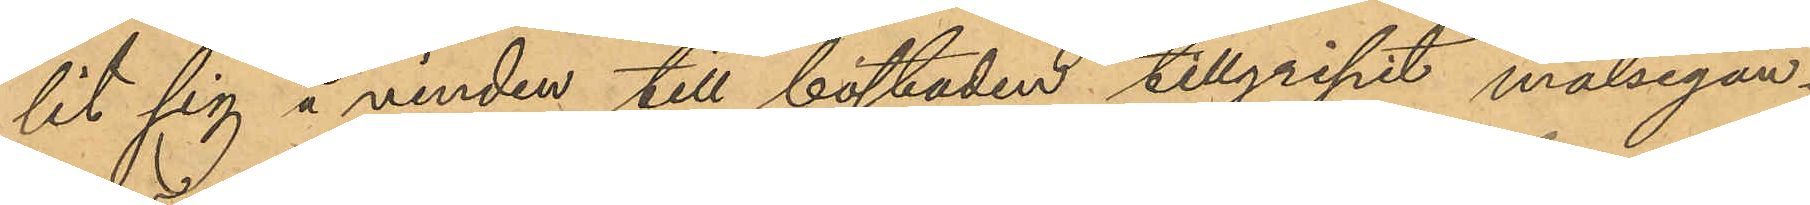lit sig å vinden till bostaden tillgripit målsegan¬
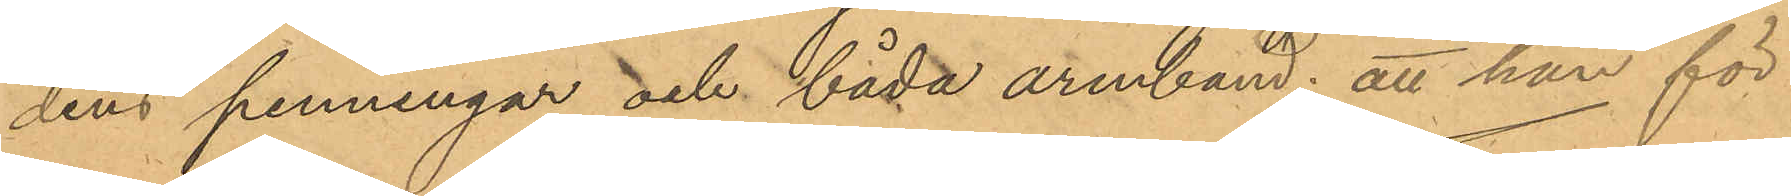dens penningar och båda armband; att han för
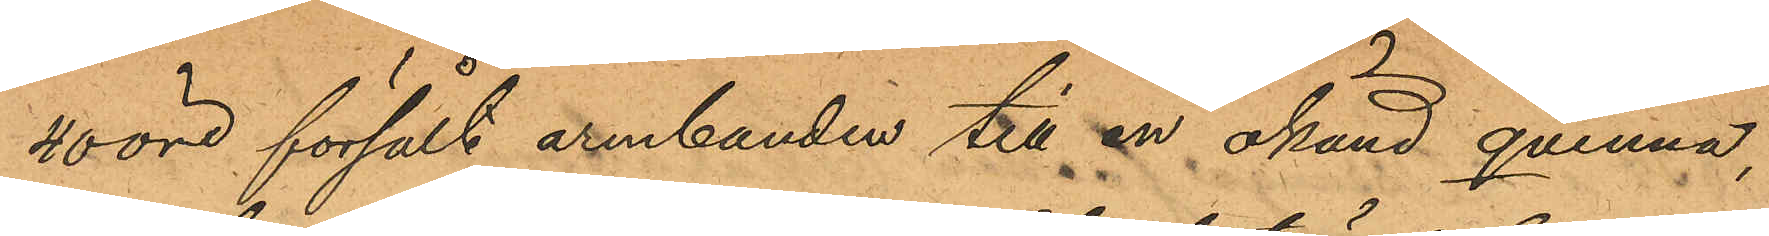40 öre försålt armbanden till en okänd qvinna,
